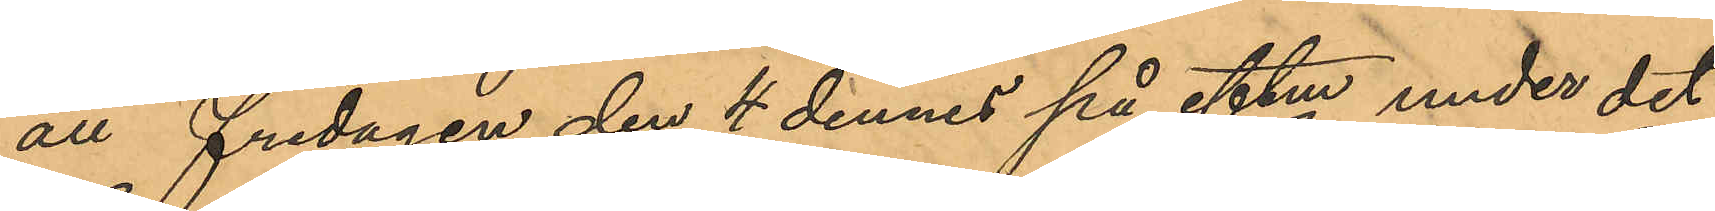att fredagen den 4 dennes på eftm under det
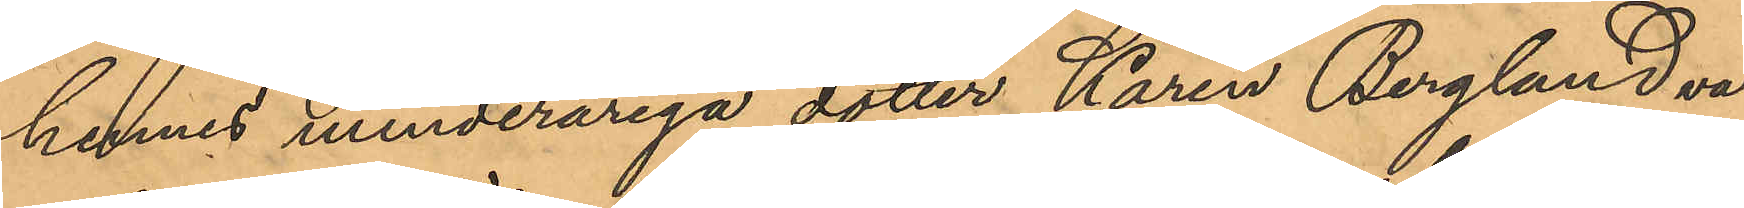hennes minderåriga dotter Karin Berglund va¬
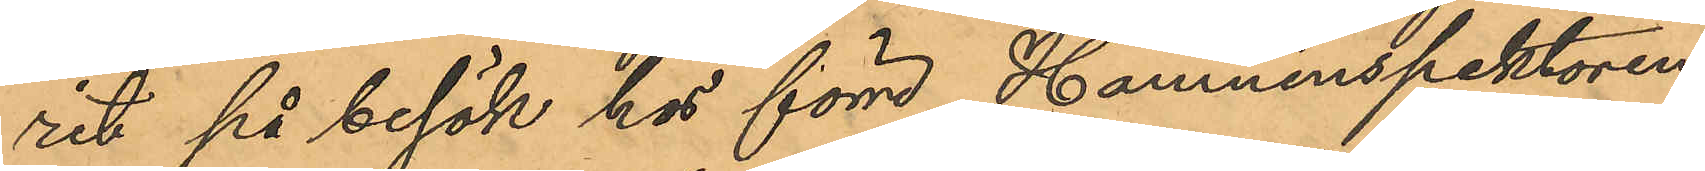rit på besök hos förre Hamninspektoren
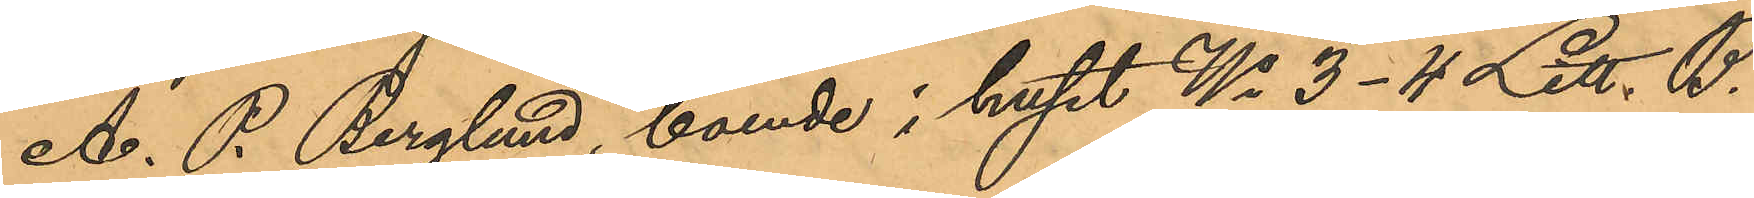A. P. Berglund, boende i huset No 3-4 Litt. B.
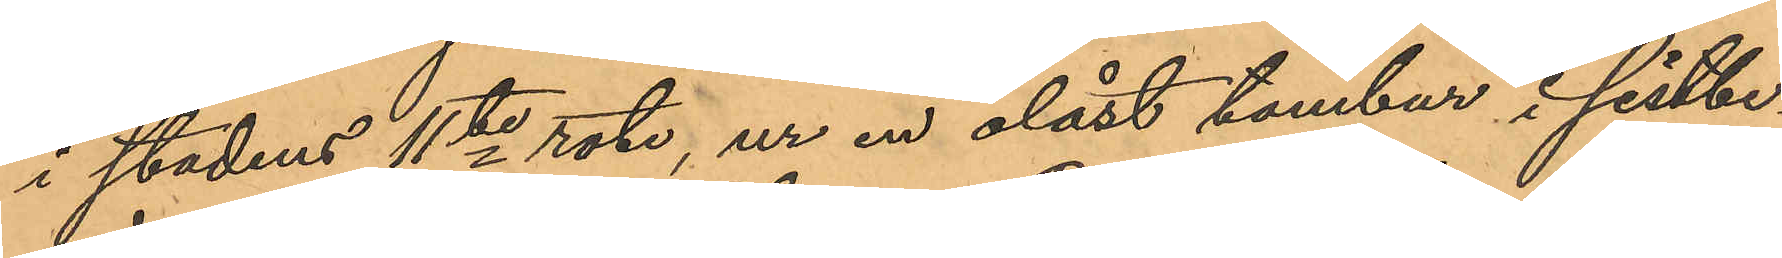i stadens 11te rote, ur en olåst tambur i sistbe¬
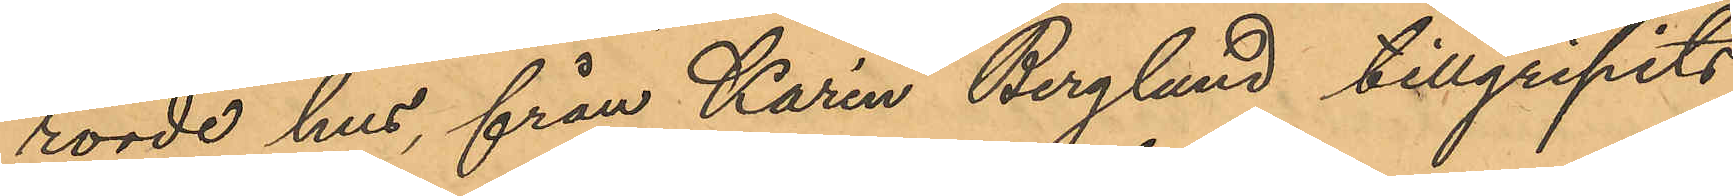rörde hus, från Karin Berglund tillgripits
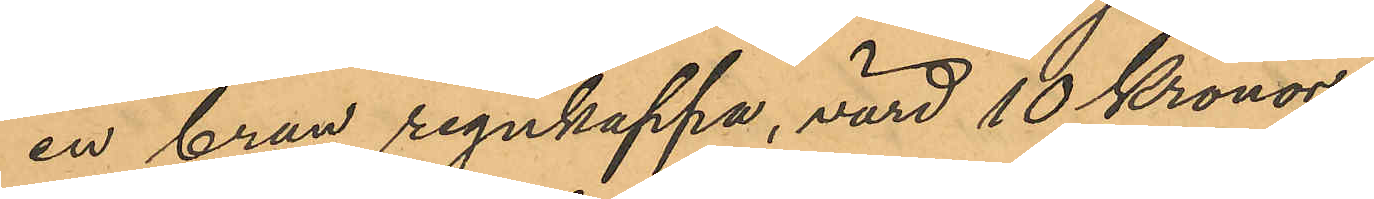en brun regnkappa, värd 10 Kronor.
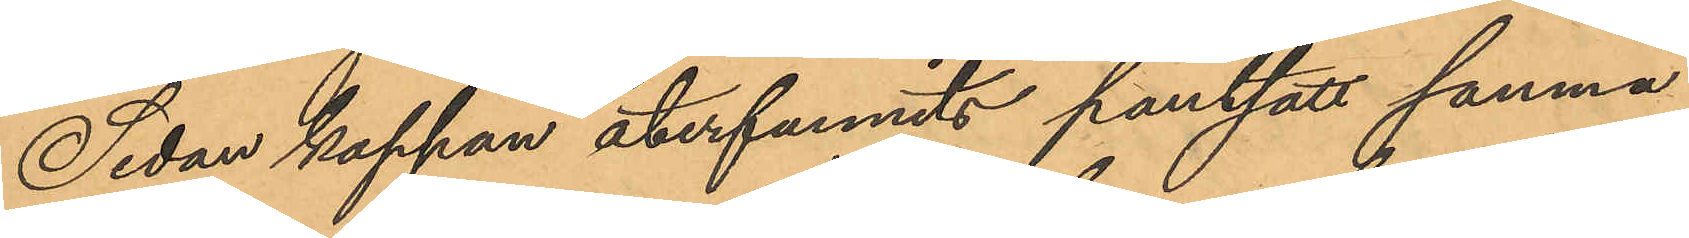Sedan kappan återfunnits pantsatt samma
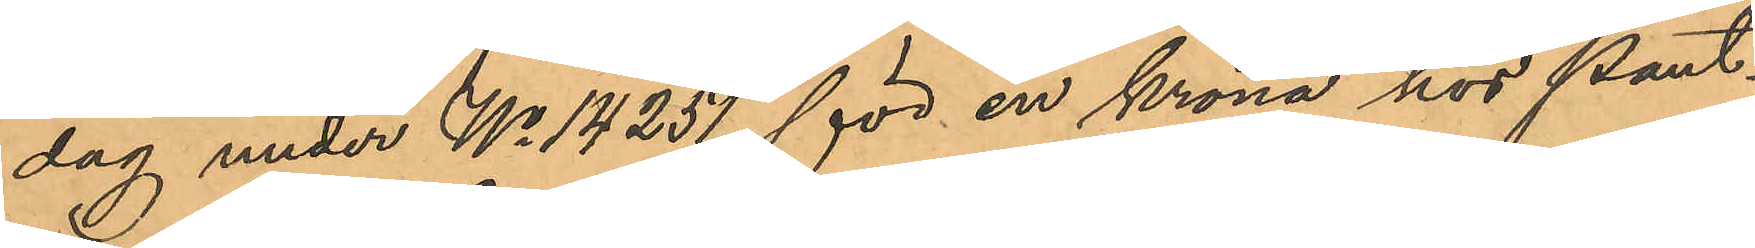dag under No 14251 för en krona hos Pant¬
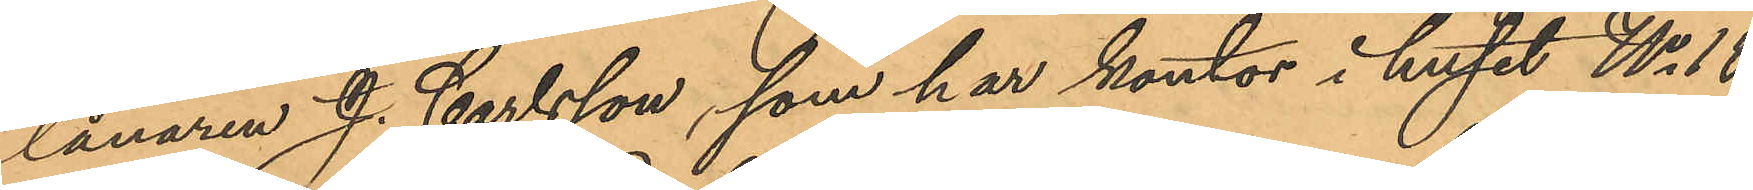lånaren J. Carlsson, som har kontor i huset No 18
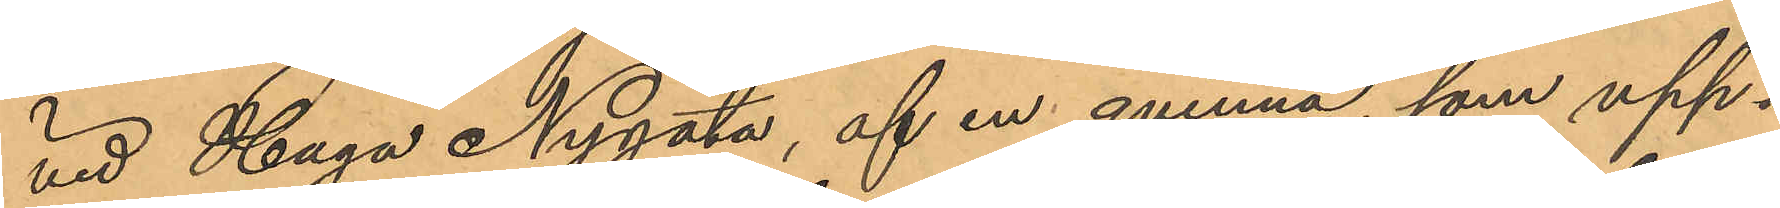vid Haga Nygata, af en qvinna, som upp¬
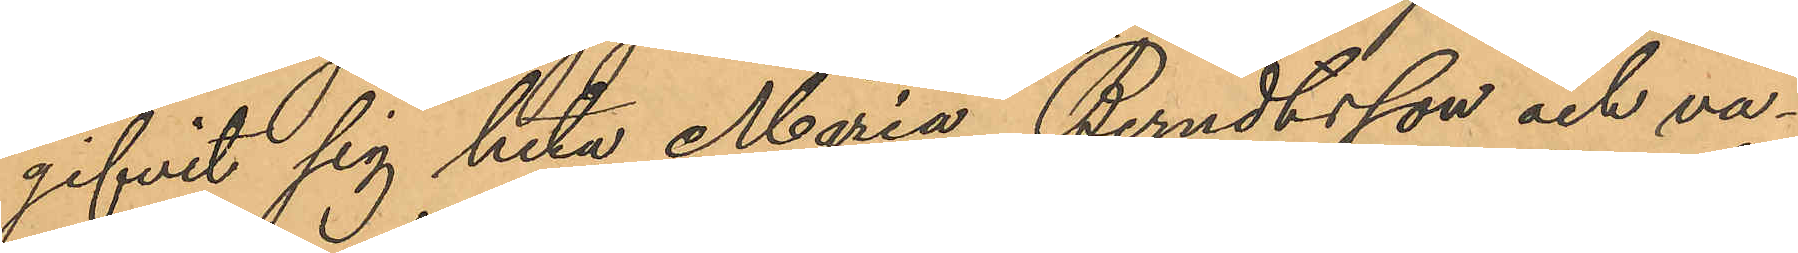gifvit sig heta Maria Berndtsson och va¬
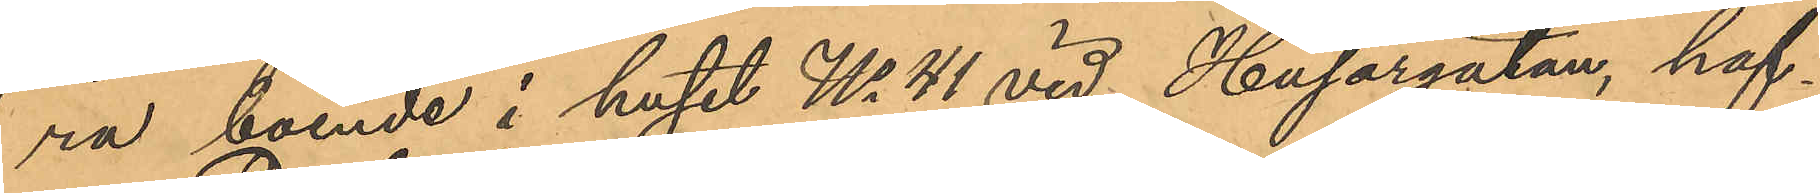ra boende i huset No 41 vid Husargatan, haf¬
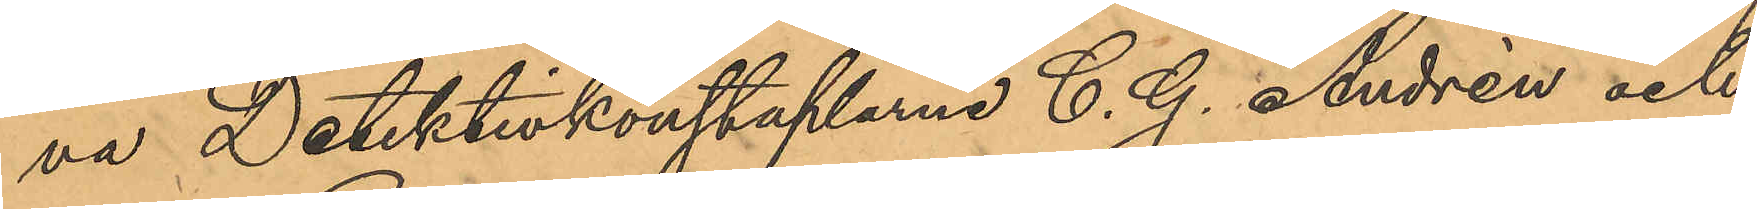va Detektivkonstaplarne C. G. Andrén och
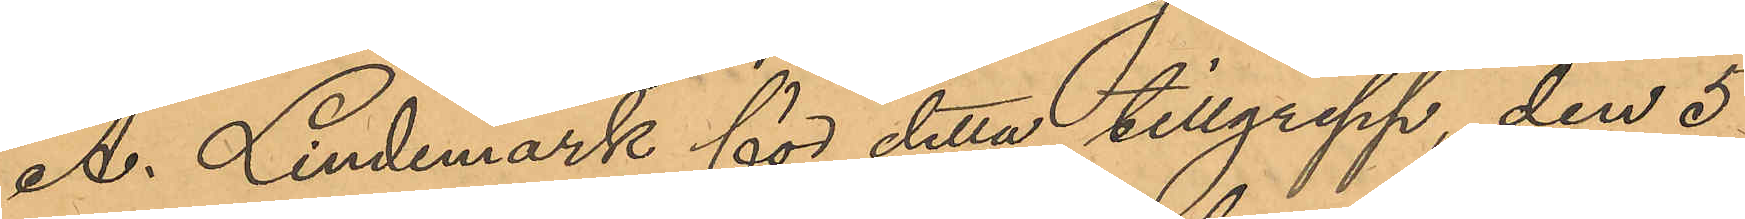A. Lindemark för detta tillgrepp, den 5
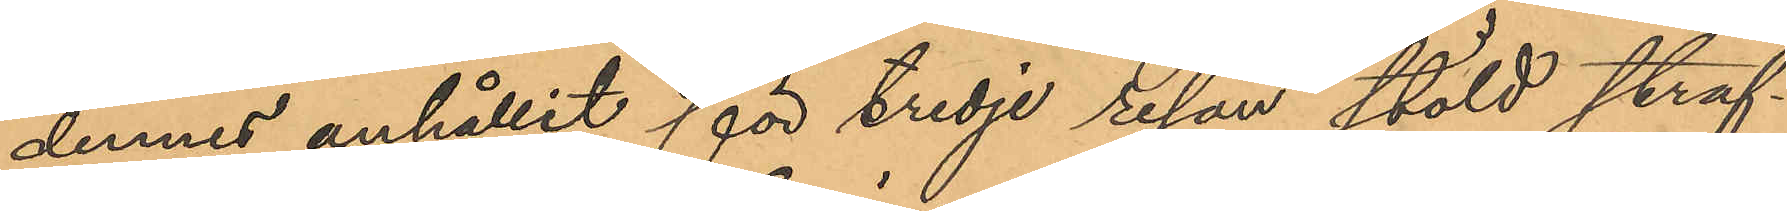dennes anhållit för tredje resan stöld straf¬
